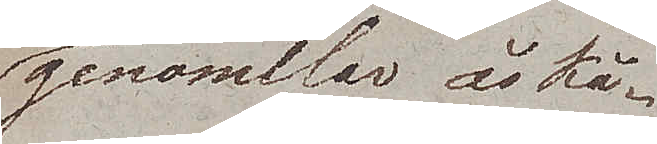genomilar åskå¬
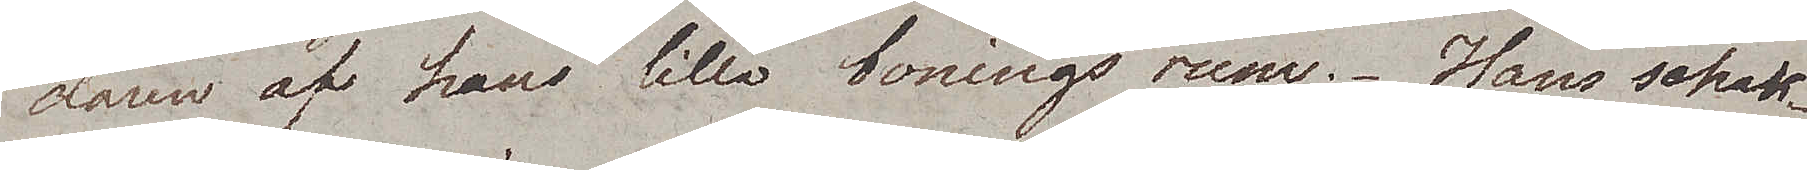daren af hans lilla boningsrum. Hans schack¬
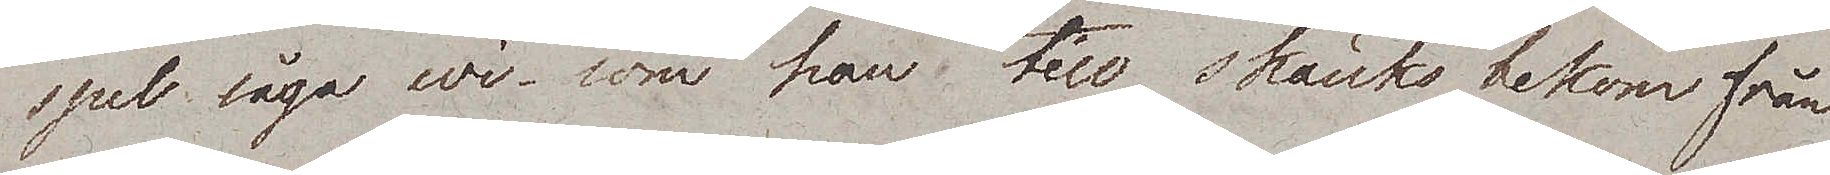spel sågo wi som han till skänks bekom från
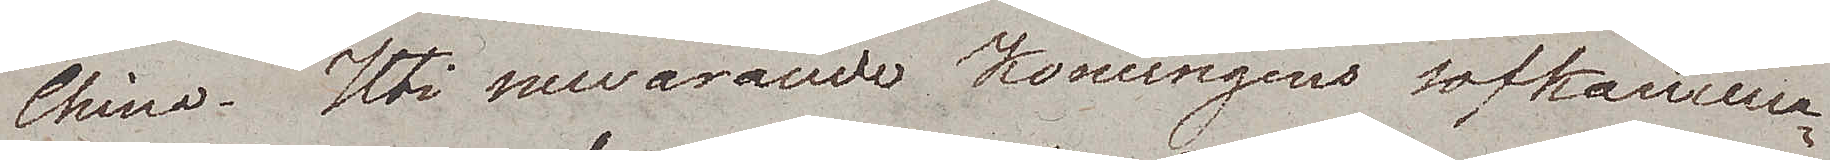China. Uti nuvarande Konungens sofkamma¬
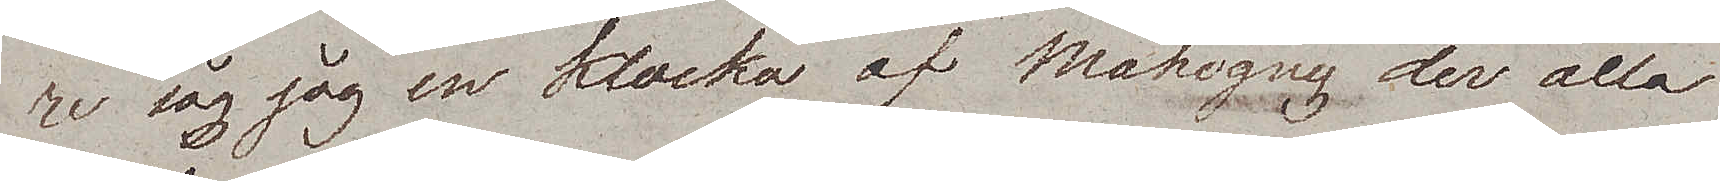re såg jag en klocka af Mahogny der alla
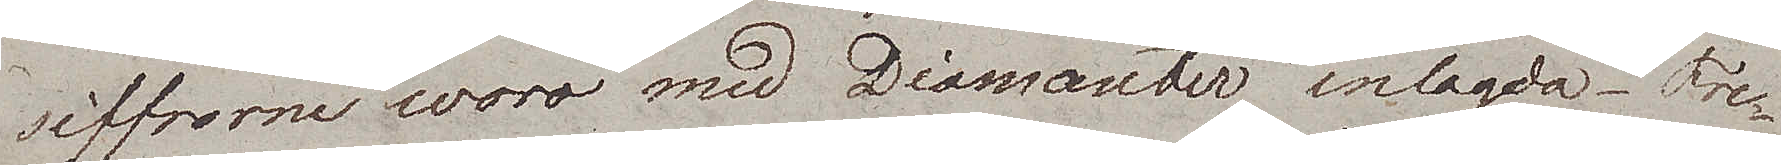siffrorne woro med Diamanter inlagda. Fre¬
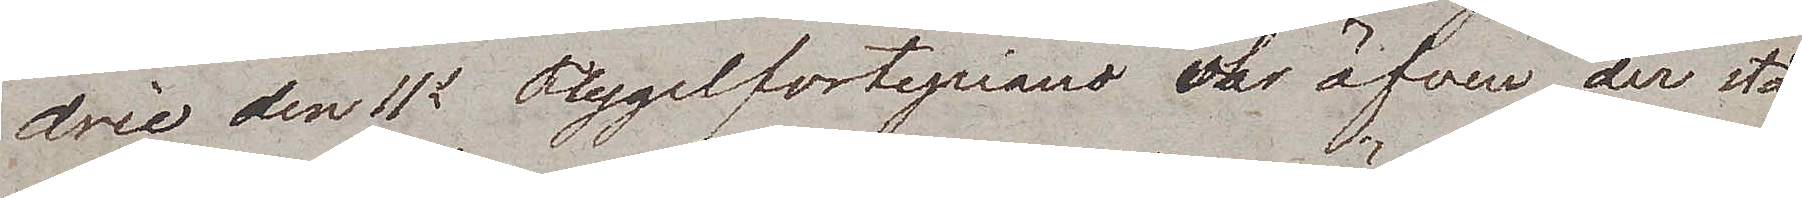dric den IIs Flygelfortepiano var äfven der stå¬
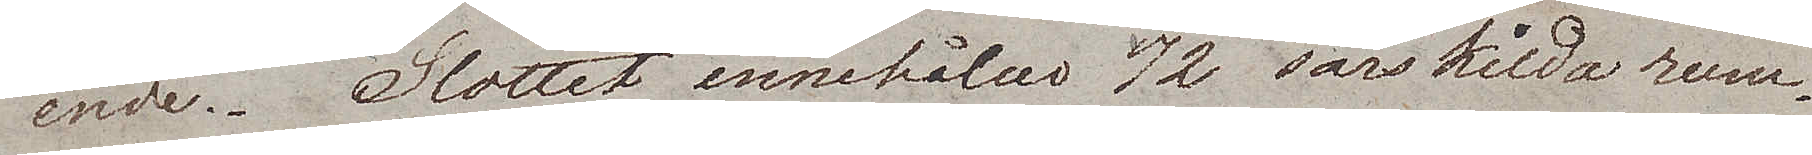ende. Slottet innehåller 72 särskilda rum.
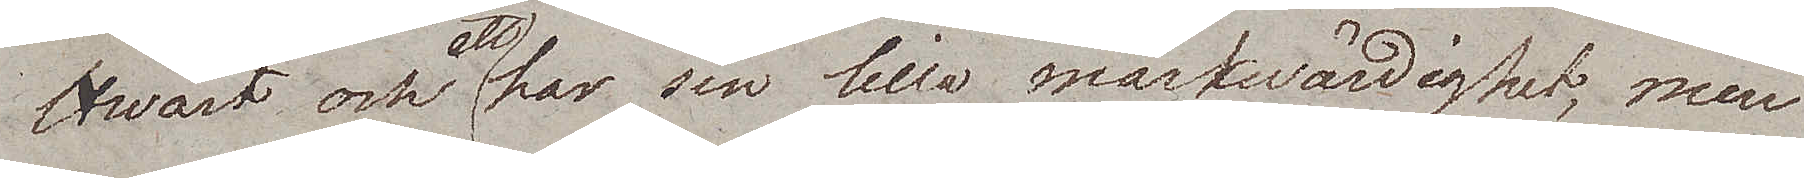Hwart och ett har sin lilla märkwärdighet, men
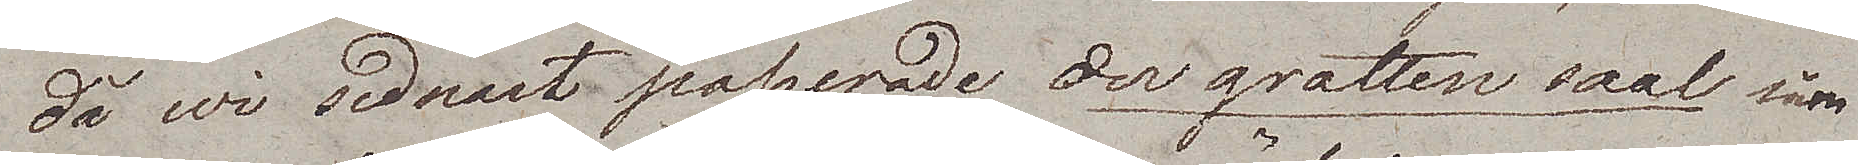då wi sednast passerade der grotten saal som
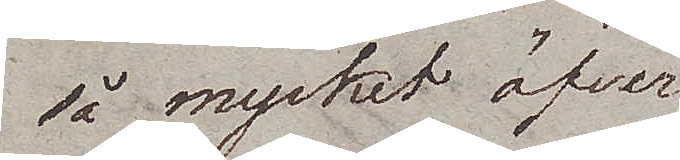så mycket öfver¬
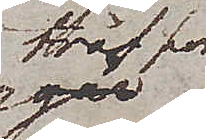träffar
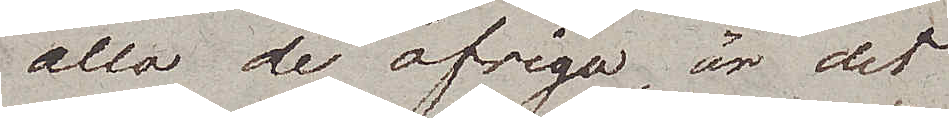alla de öfriga, är det
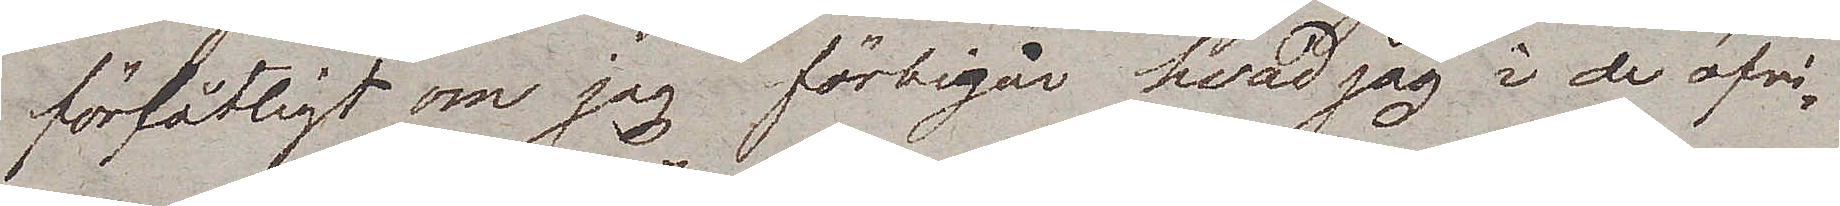förlåtligt om jag förbigår hvad jag i de öfri¬
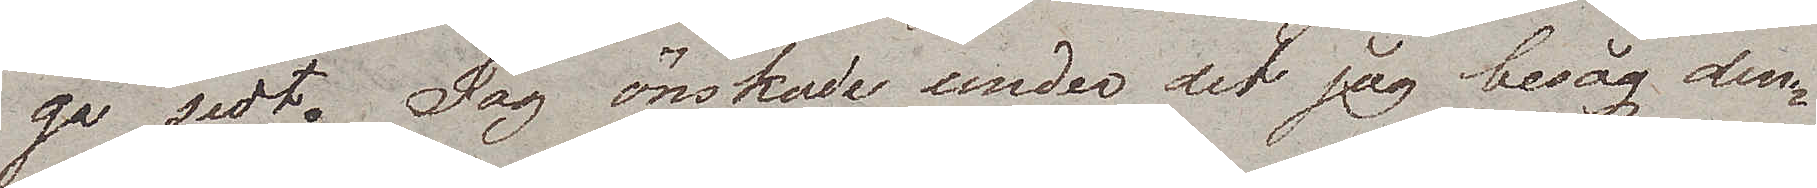ga sedt. Jag önskade under det jag besåg den
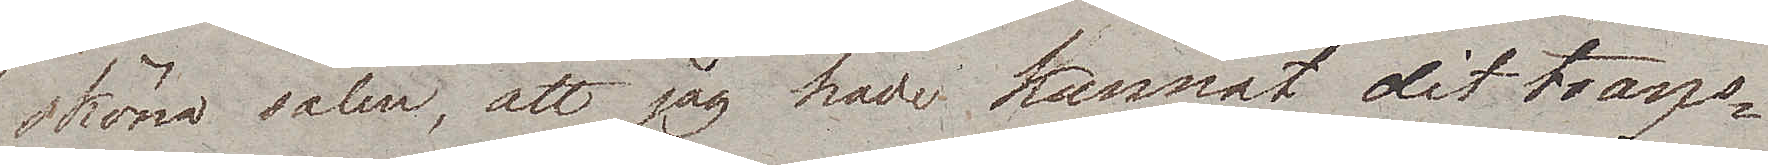sköna salen, att jag hade kunnat dit trans¬
